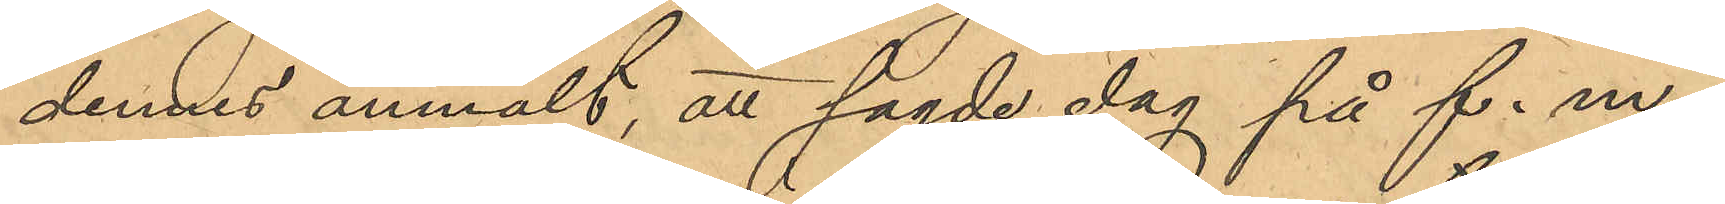dennes anmält, att sagde dag på f. m. i
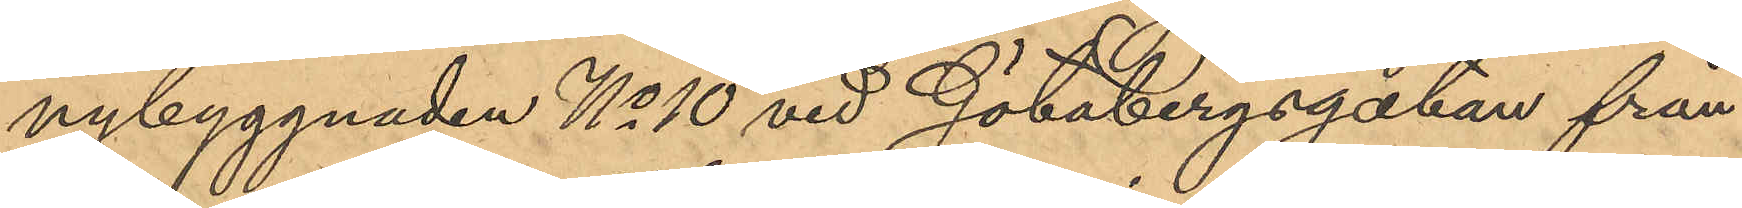nybyggnaden No 10 vid Götabergsgatan från
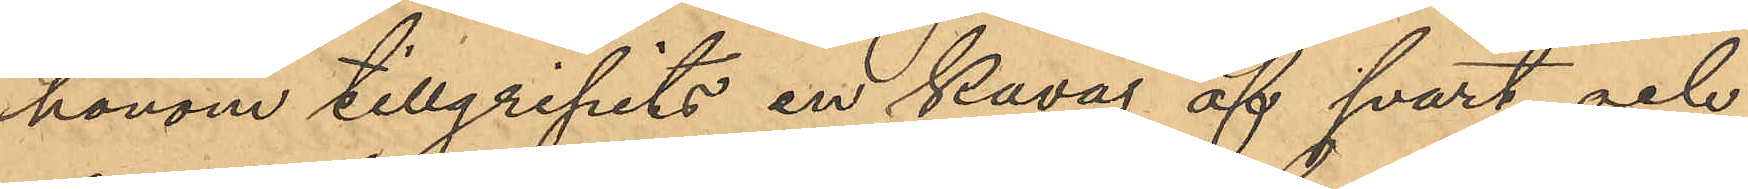honom tillgripits en kavaj af svart och
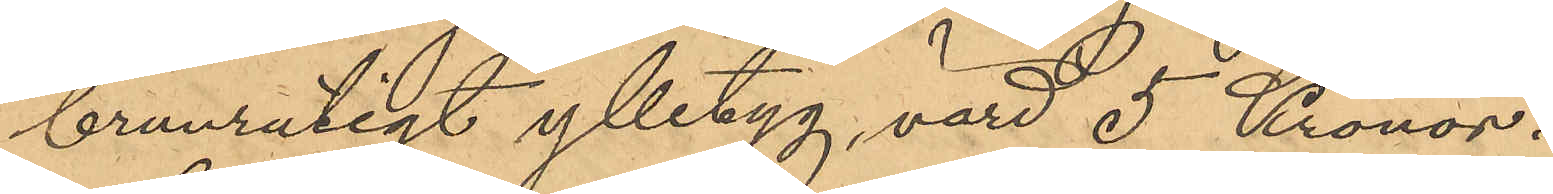brunrutigt ylletyg, värd 5 Kronor.
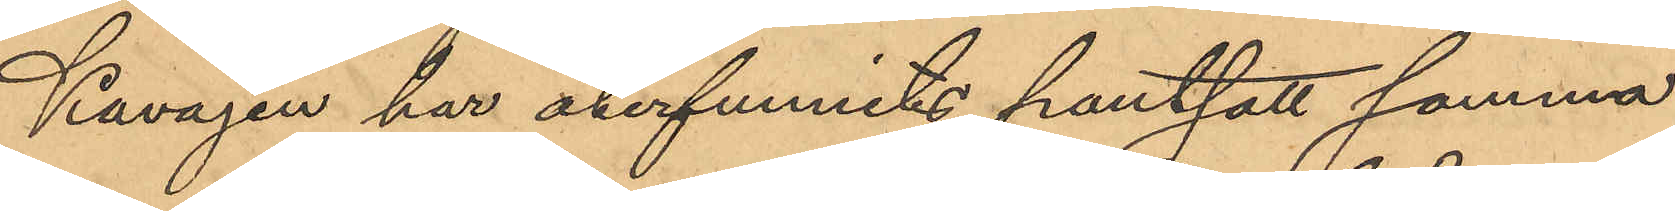Kavajen har återfunnits pantsatt samma
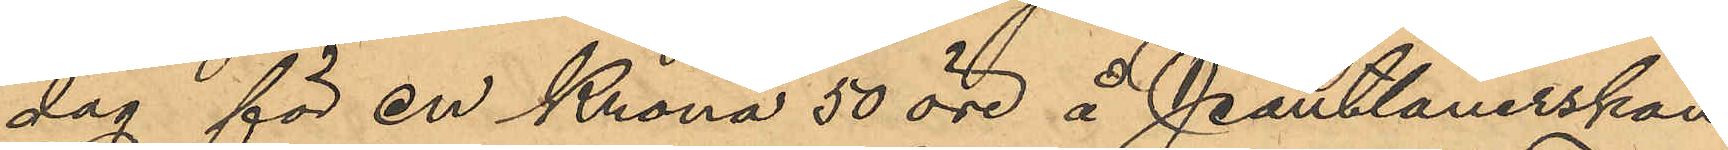dag för en Krona 50 öre å Pantlånerskan
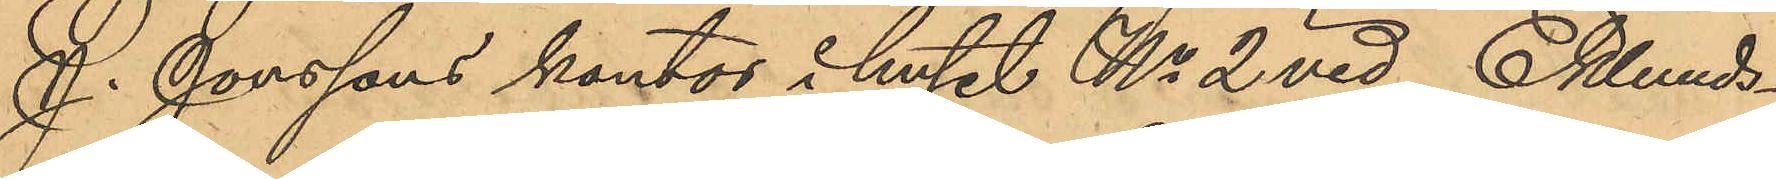J. Jonssons kontor i huset No 2 vid Eklunds¬
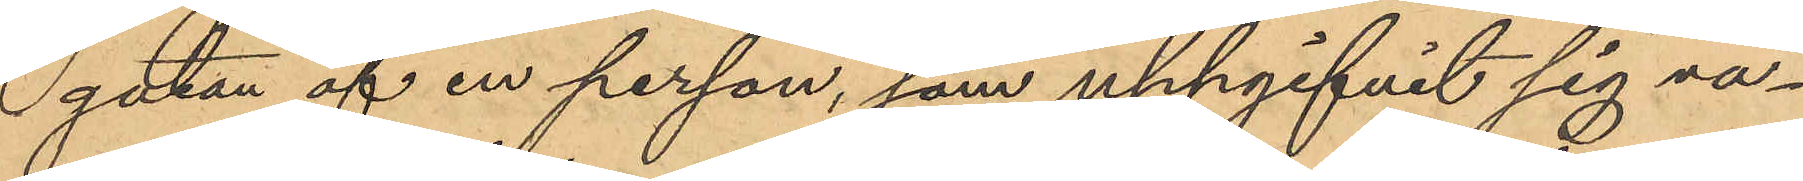gatan af en person, som uppgifvit sig va¬
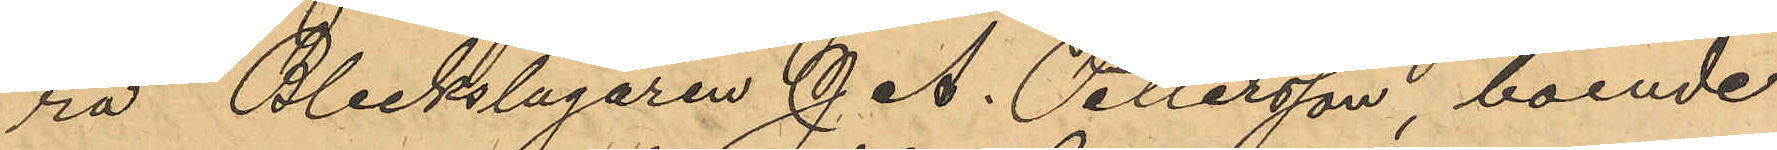ra Bleckslagaren J. A. Pettersson, boende
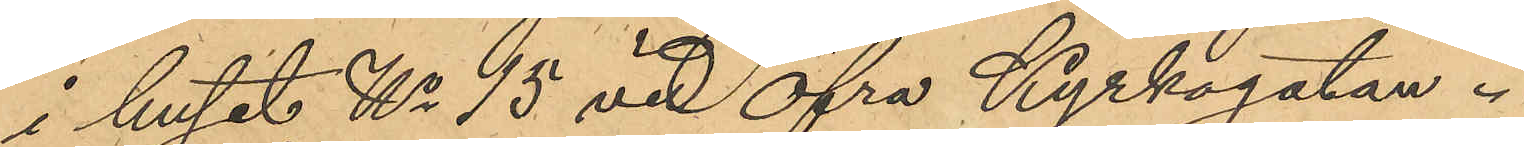i huset No 15 vid Öfra Kyrkogatan.
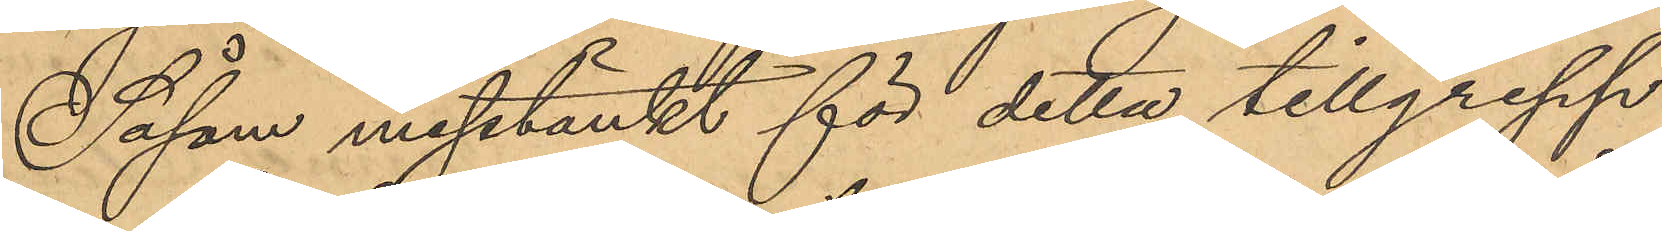Såsom misstänkt för detta tillgrepp
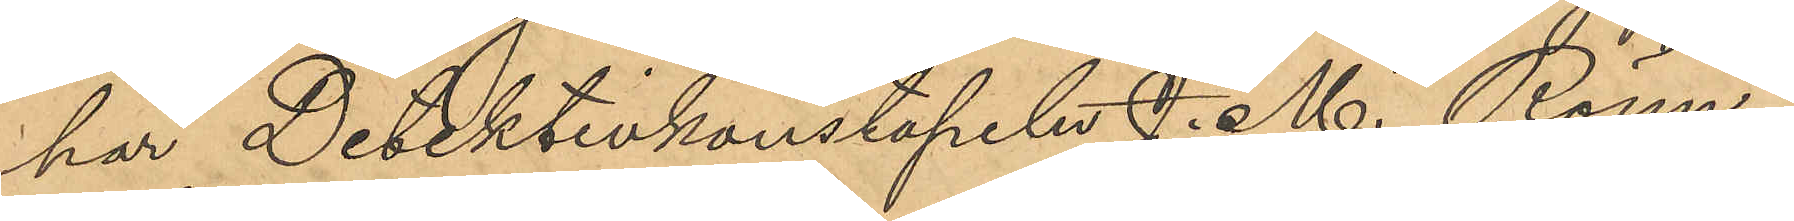har Detektivkonstapeln J. M. Rönn¬
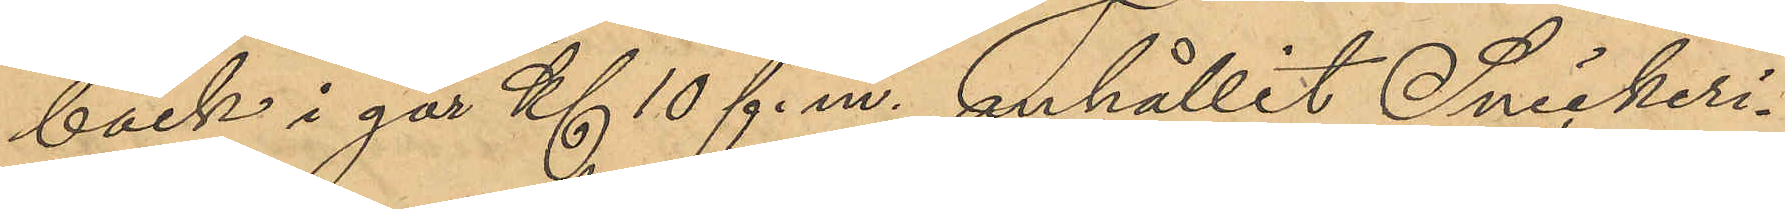bäck i går Kl 10 f. m. anhållit Snickeri¬
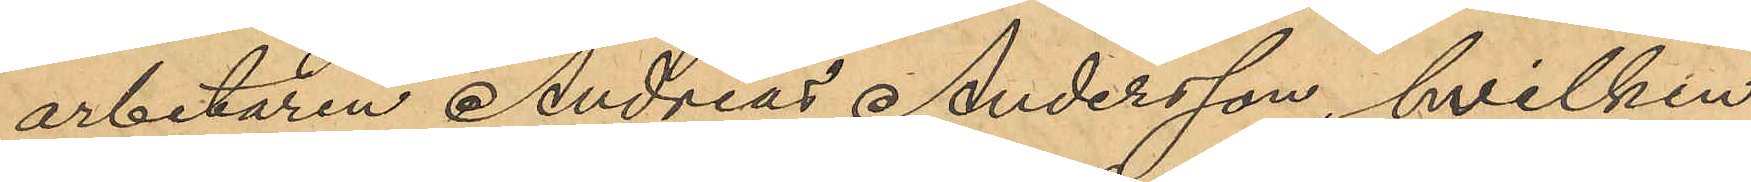arbetaren Andreas Andersson, hvilken
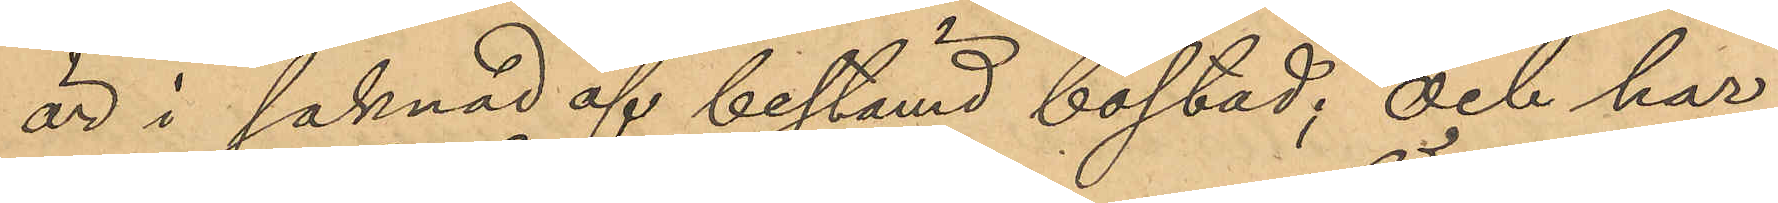är i saknad af bestämd bostad; och har
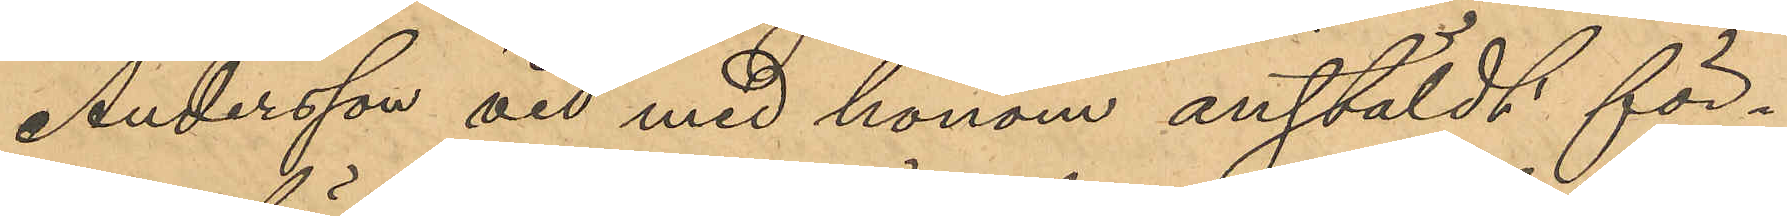Andersson vid med honom anstäldt för¬
